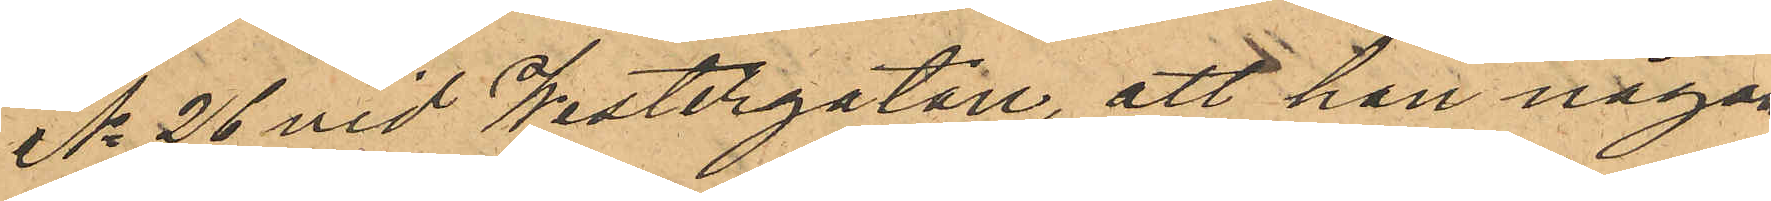No 26 vid Westergatan, att han någon
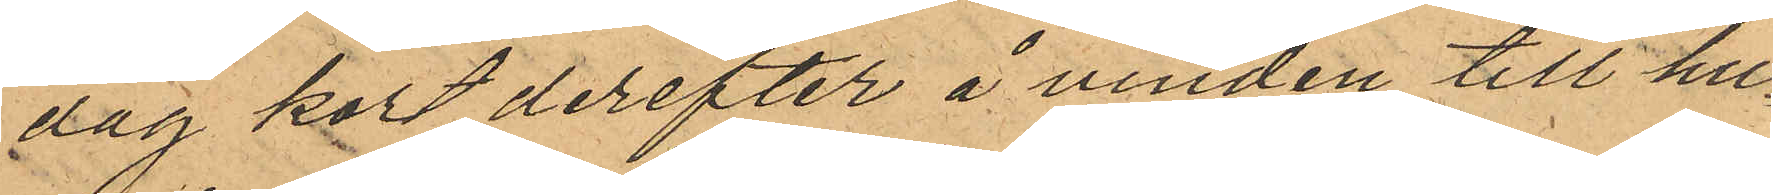dag kort derefter å vinden till hu¬
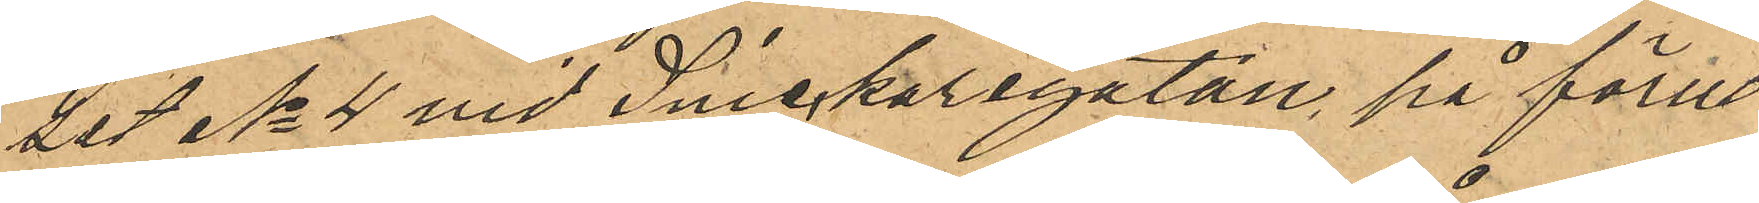set No 4 vid Snickaregatan, på förut
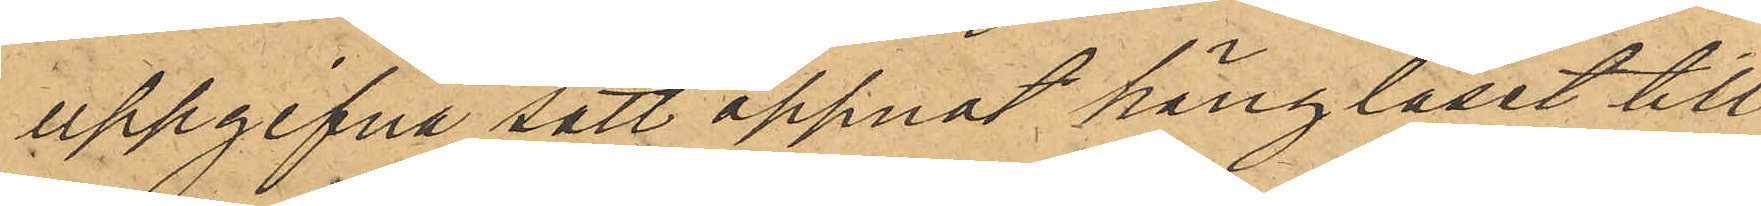uppgifna sätt öppnat hänglåset till
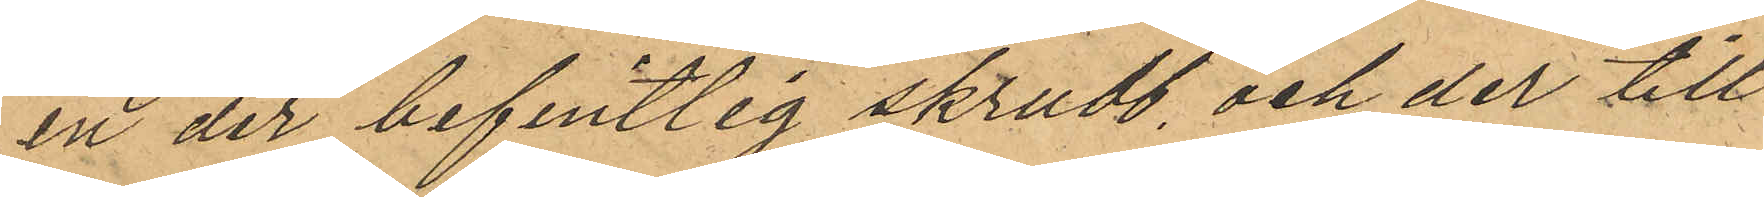en der befintlig skrubb, och der till¬
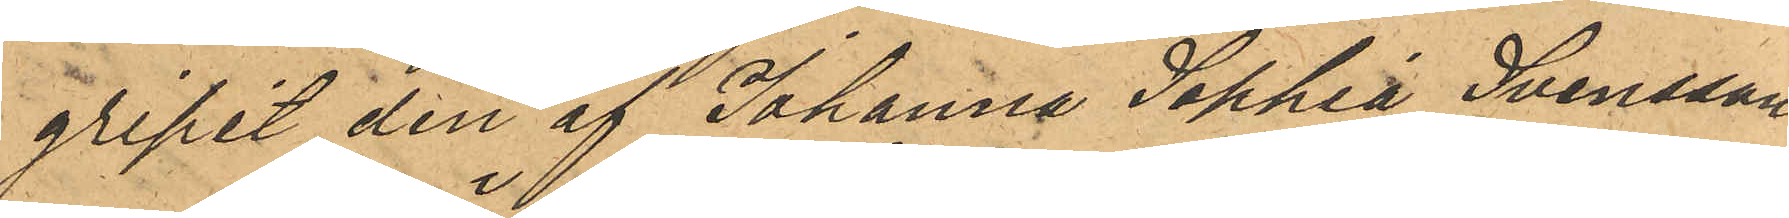gripit den af Johanna Sophia Svensson
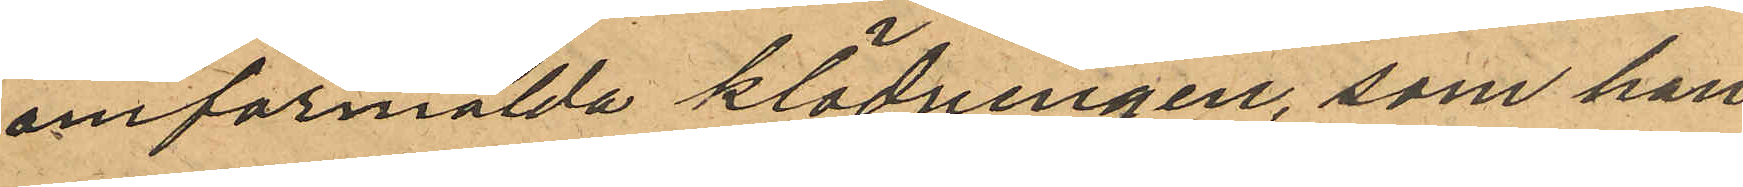omförmälda klädningen, som han
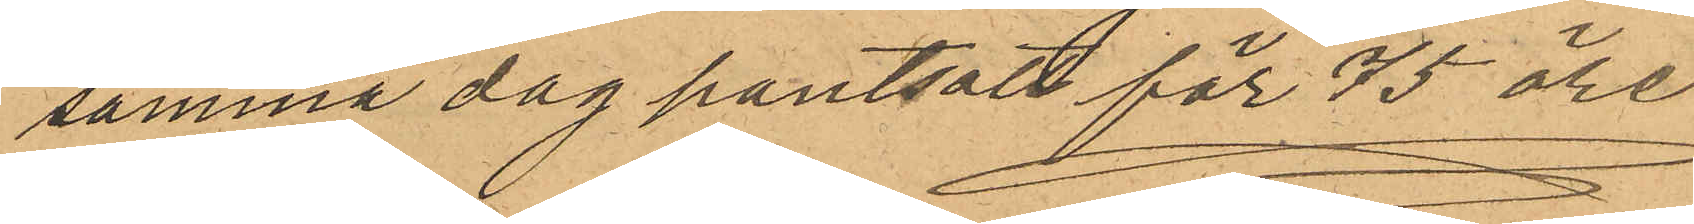samma dag pantsatt för 75 öre
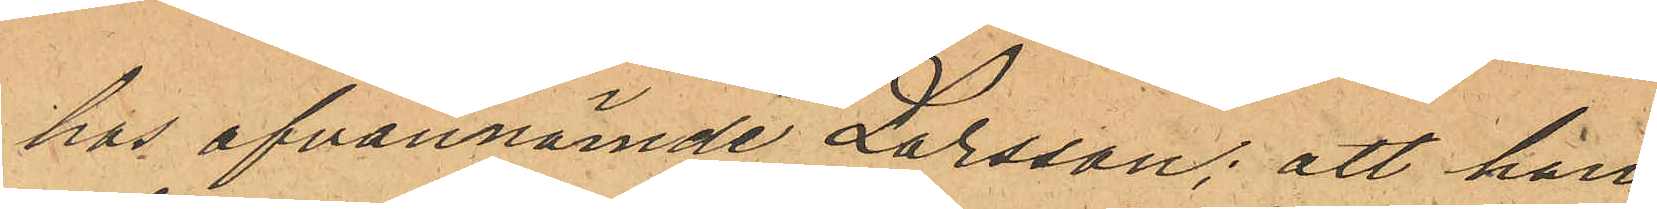hos ofvannämde Larsson; att han
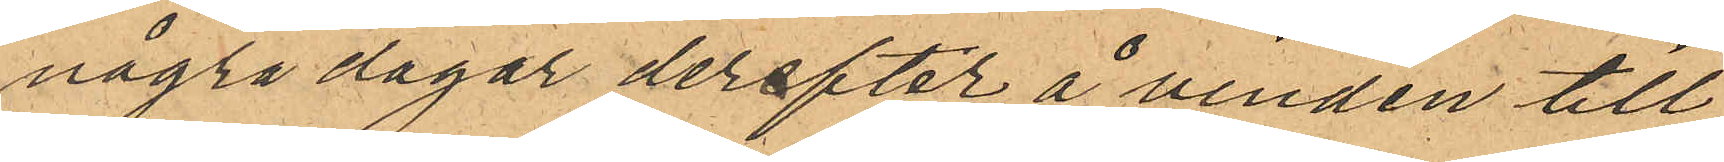några dagar derefter å vinden till
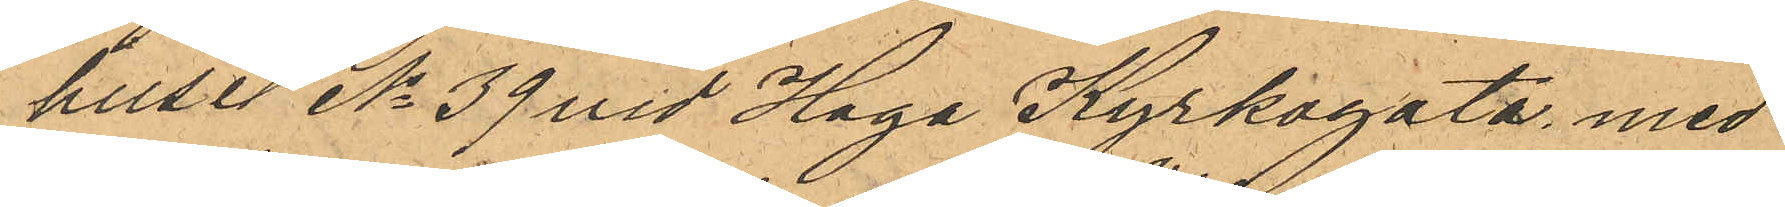huset No 39 vid Haga Kyrkogata med
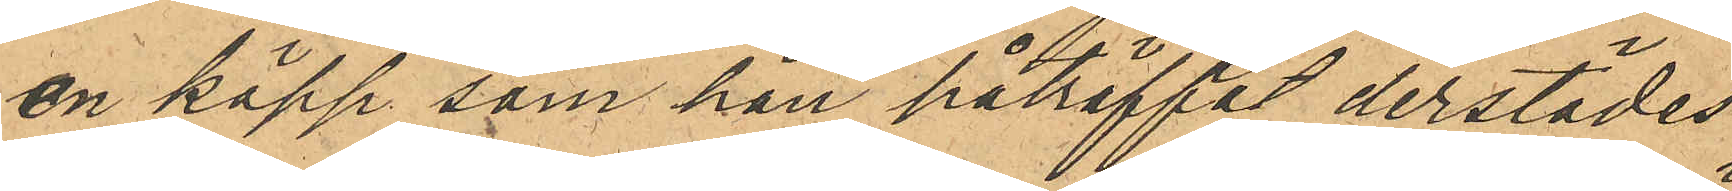en käpp, som han påträffat derstädes
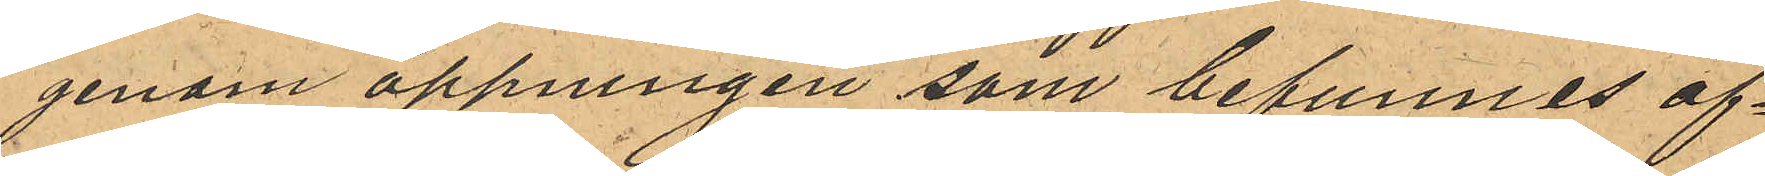genom öppningen som befunnes öf¬
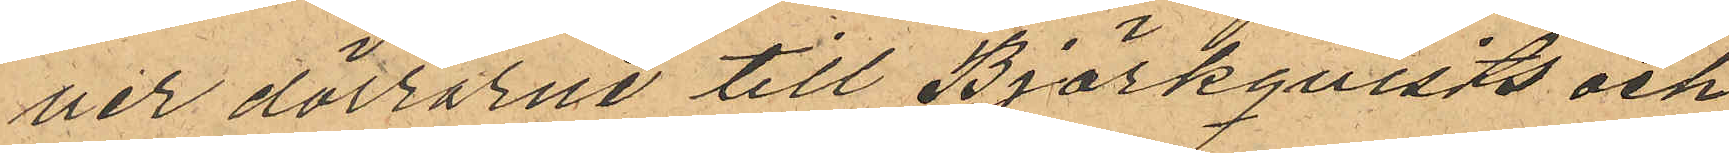ver dörrarne till Björkqvists och
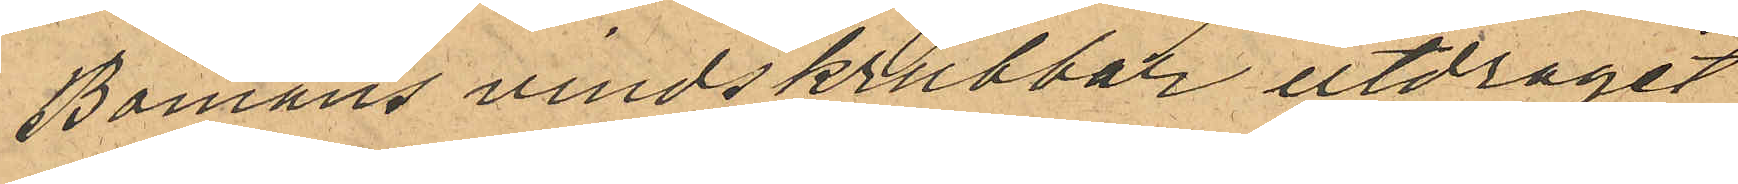Bomans vindskrubbar utdragit
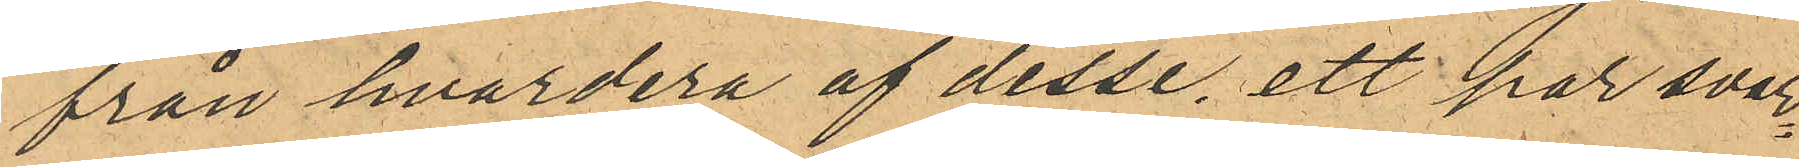från hvardera af desse, ett par svar¬
